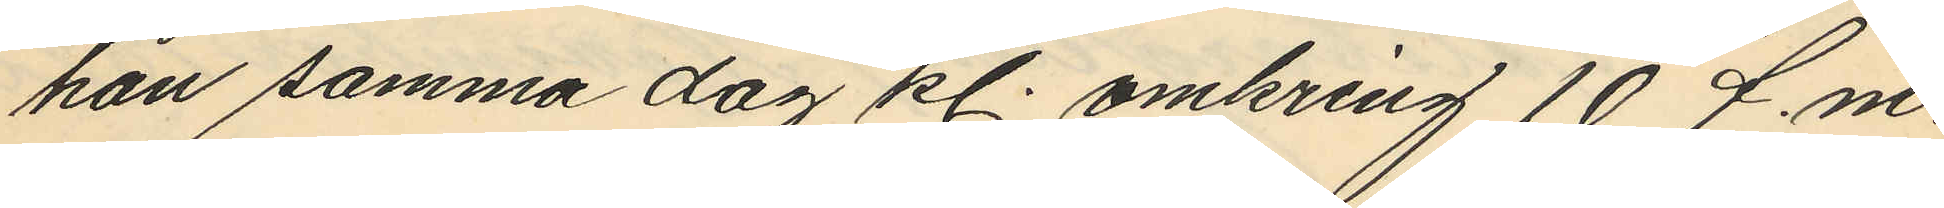han samma dag kl. omkring 10 f.m.
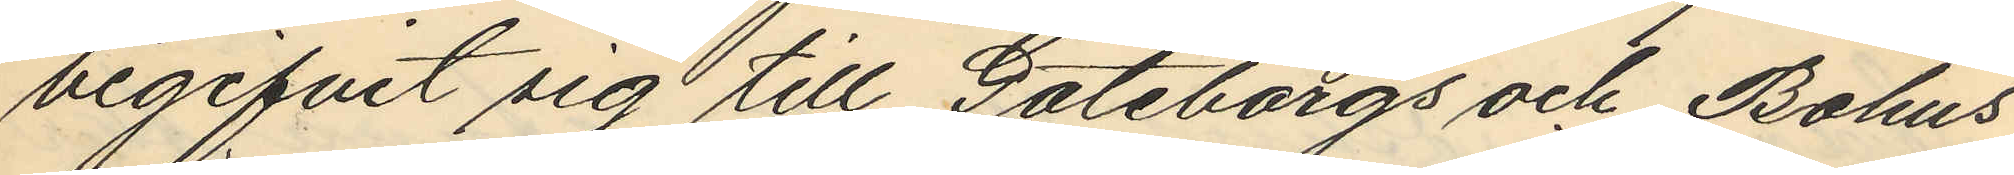begifvit sig till Göteborgs och Bohus
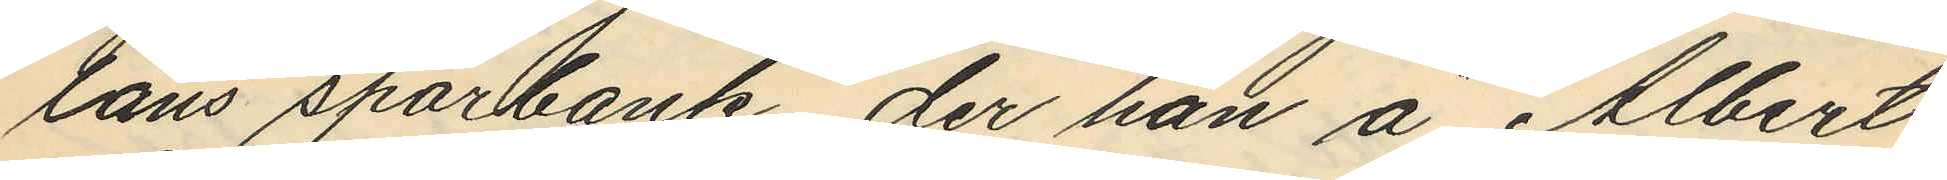läns sparbank, der han å Albert
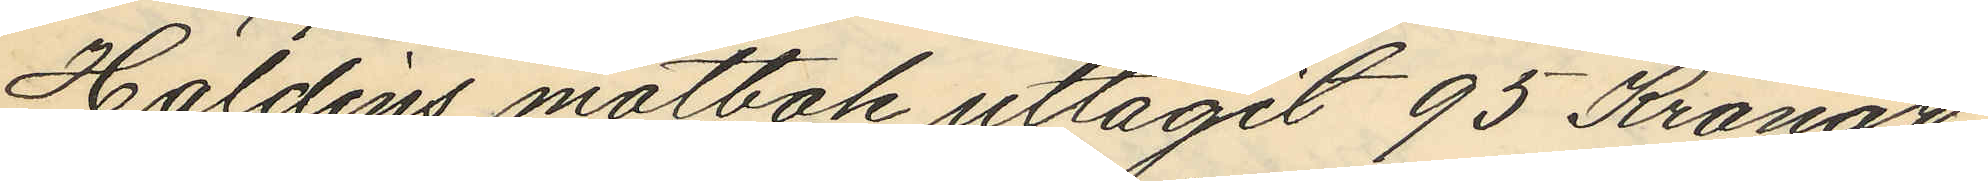Haldins motbok uttagit 95 Kronor
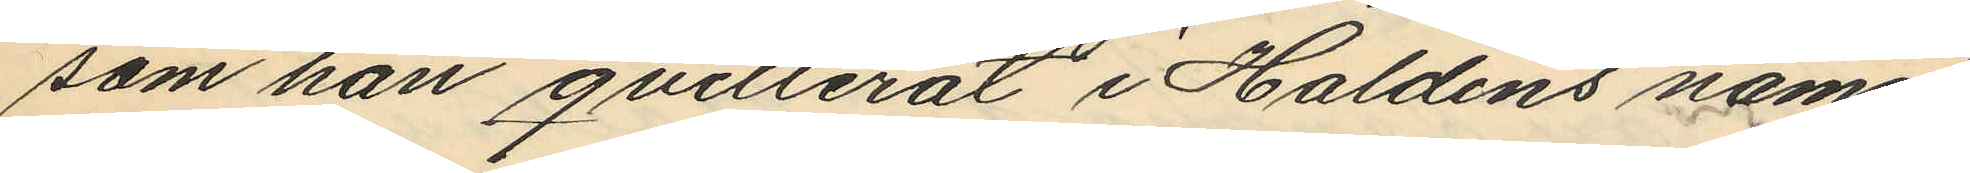som han qvitterat i Haldins namn
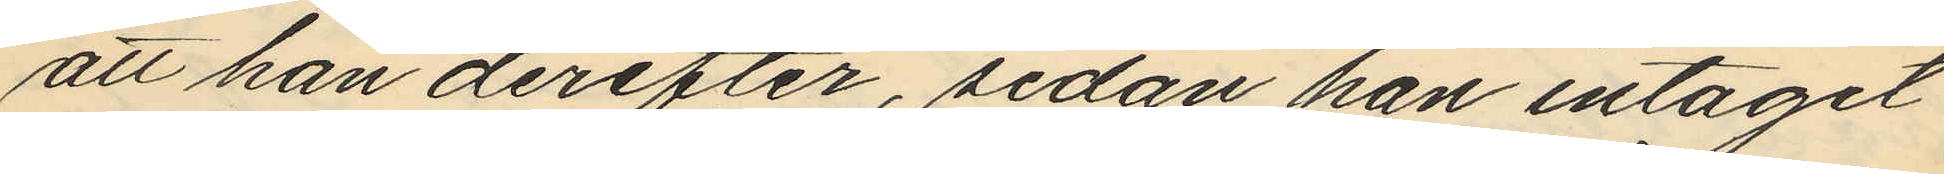att han derefter, sedan han intagit
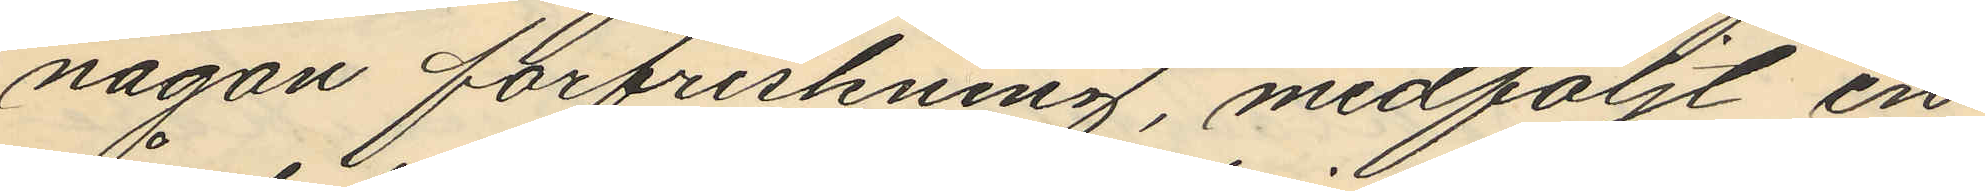någon förfriskning, medföljt en
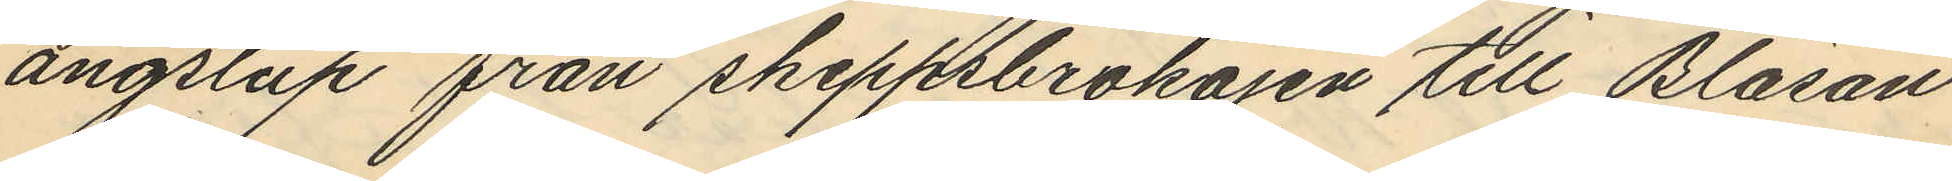ångslup från skeppsbrokajen till Bläsan
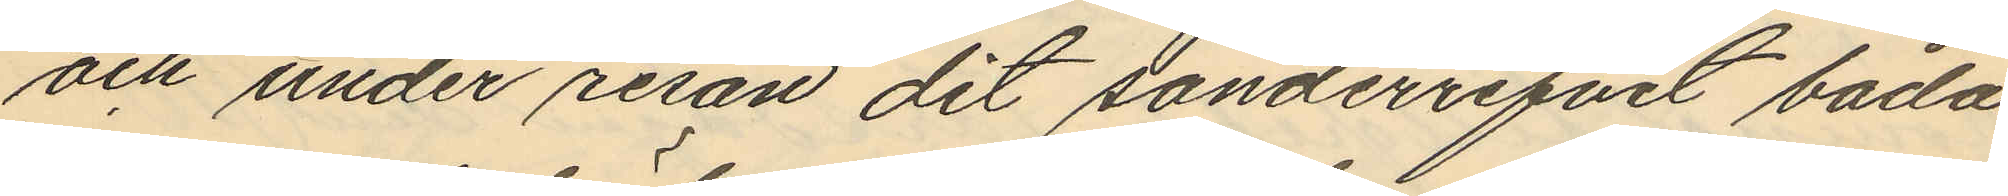och under resan dit sönderrifvet båda
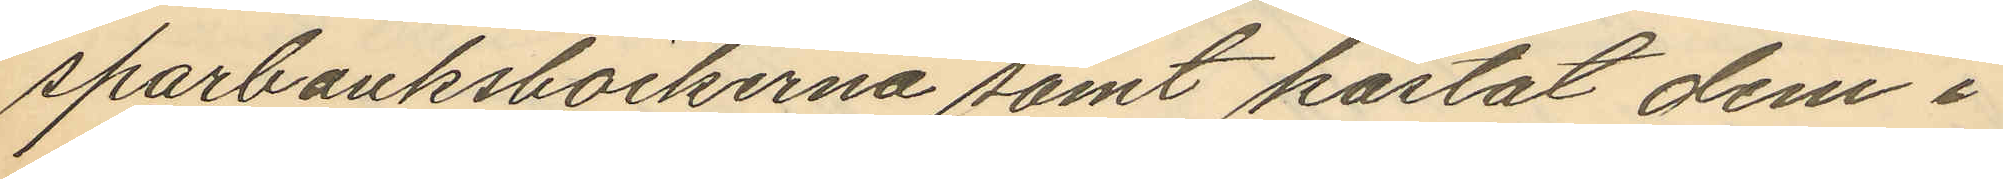sparbanksböckerna samt kastat dem i
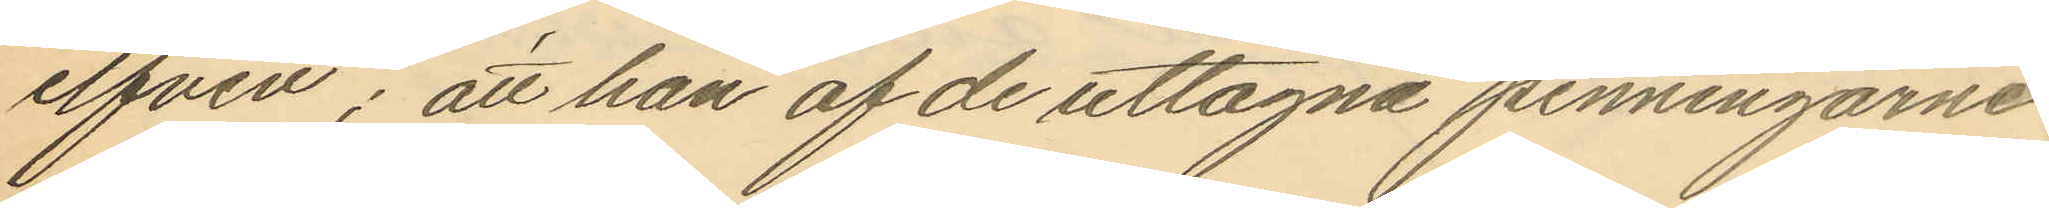elfven; att han af de uttagna penningarne
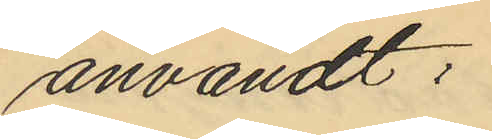användt:
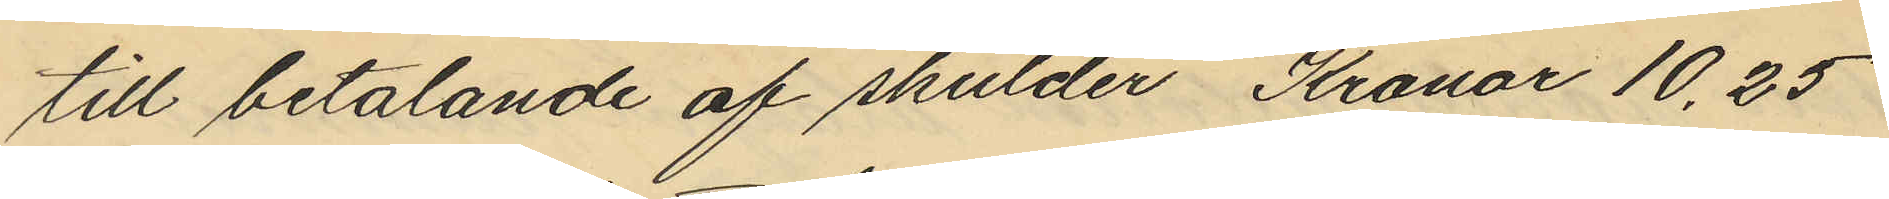till betalande af skulder Kronor 10.25
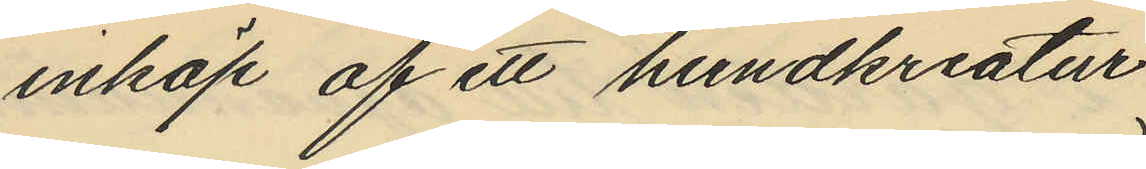inköp af ett hundkreatur
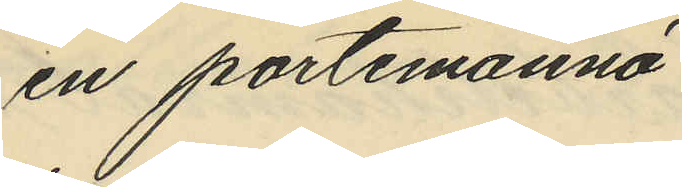en portemonnä
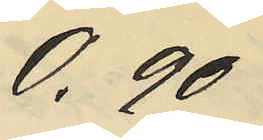0.90
